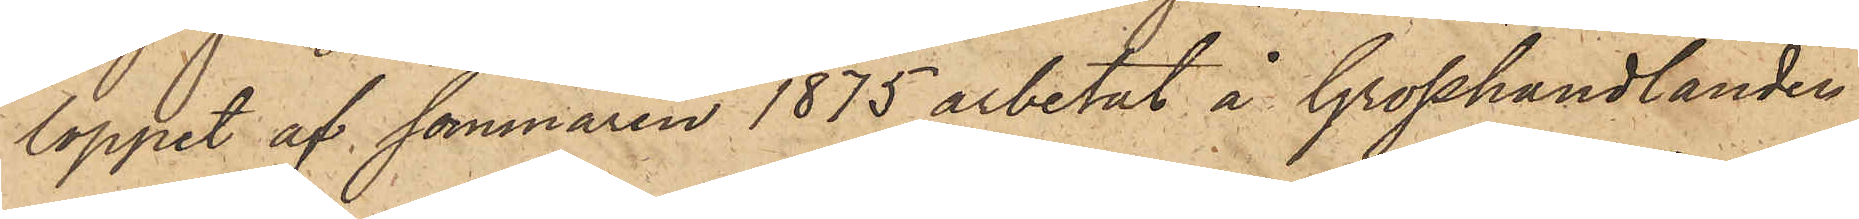loppet af sommaren 1875 arbetat å Grosshandlanden
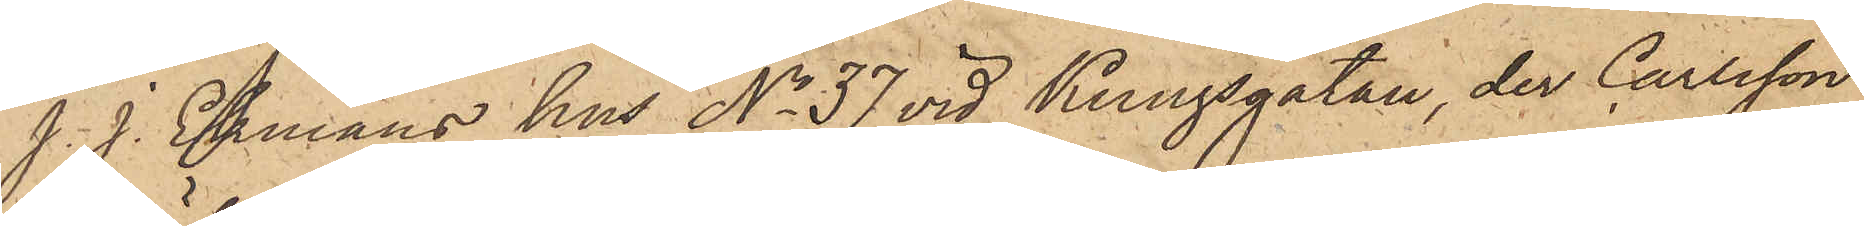J. J. Ekmans hus No 37 vid Kungsgatan, der Carlsson
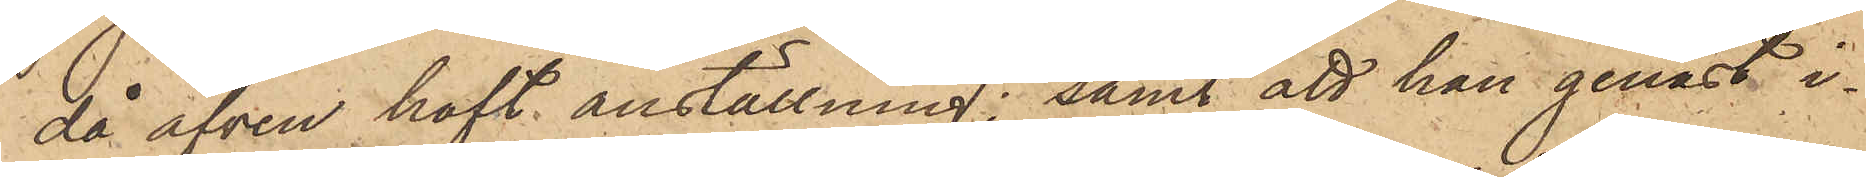då äfven haft anställning; samt att han genast i¬
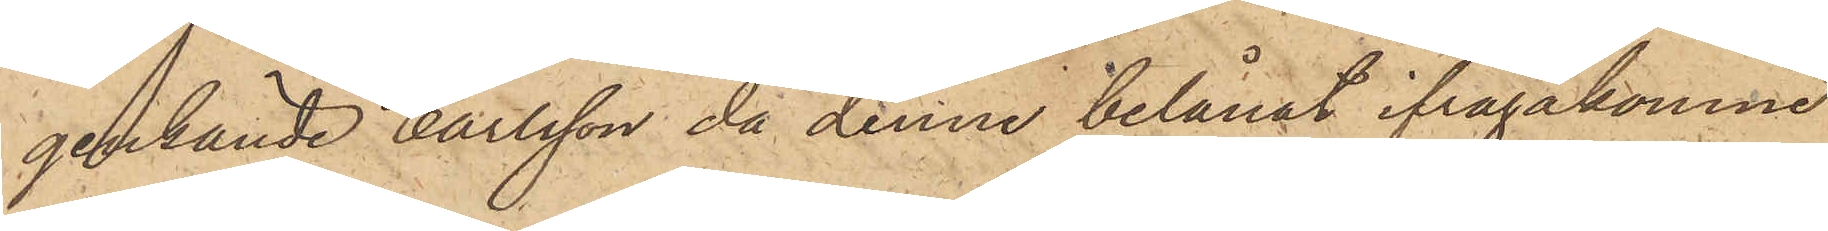genkände Carlsson, då denne belånat ifrågakomne
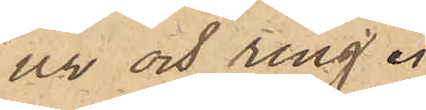ur och ring.
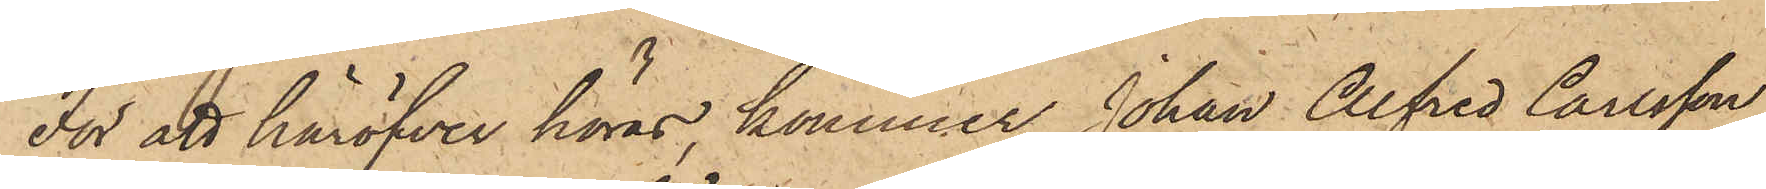För att häröfver höras, kommer Johan Alfred Carlsson,
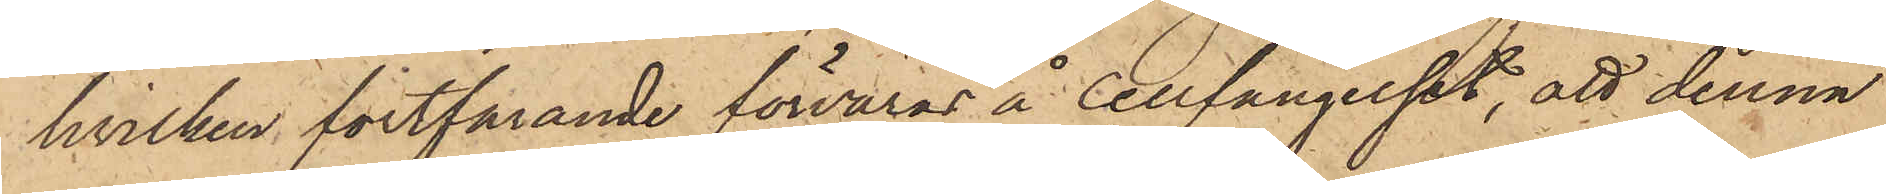hvilken fortfarande förvaras å cellfängelset, att denna
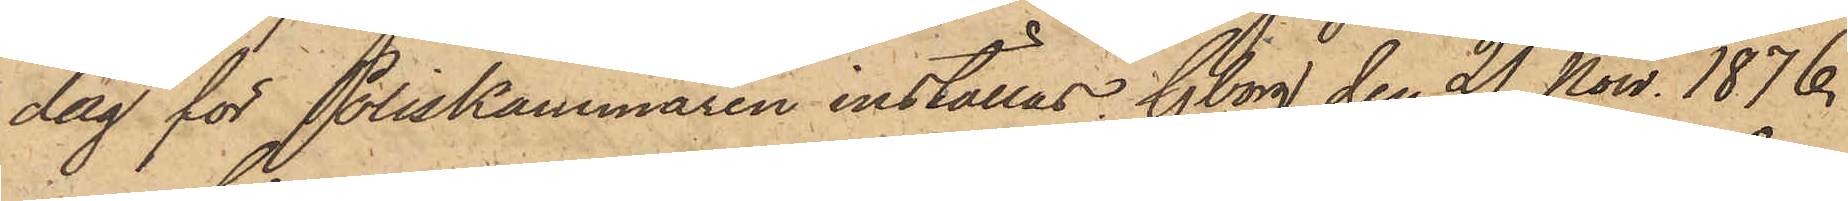dag för Poliskammaren inställas. Gborg den 21 Nov. 1876.
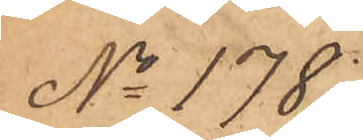No 178.
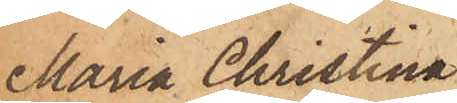Maria Christina
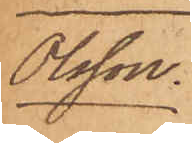Olsson
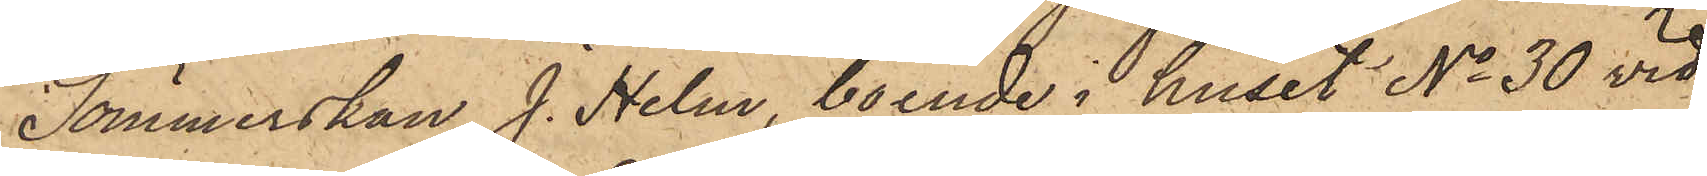Sömmerskan J. Helm, boende i huset No 30 vid
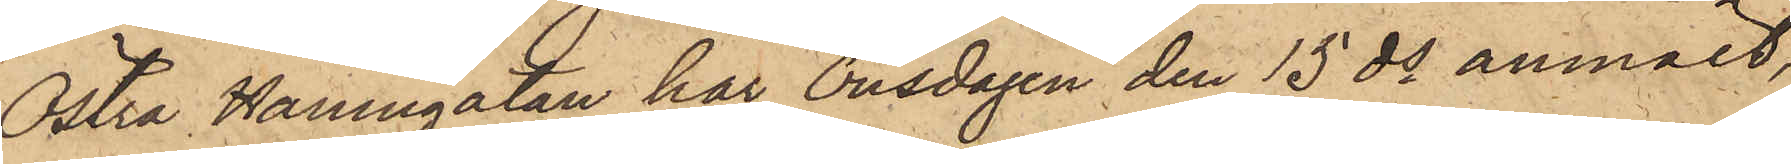Östra Hamngatan har Onsdagen den 15 ds anmält,
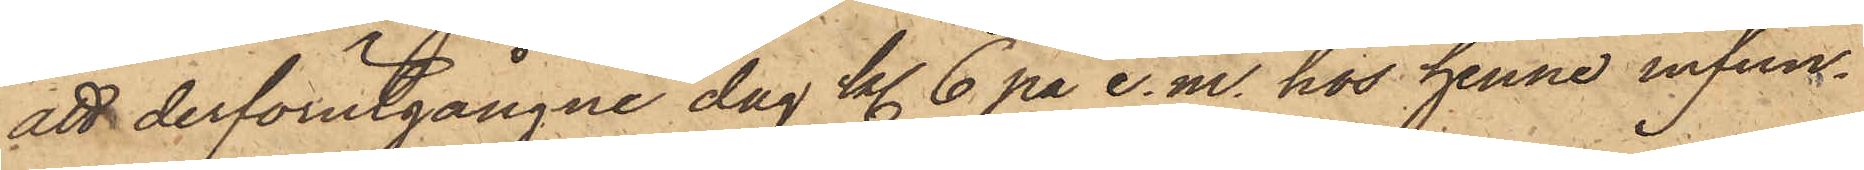att derförutgångne dag kl. 6 på e. m. hos henne infun¬
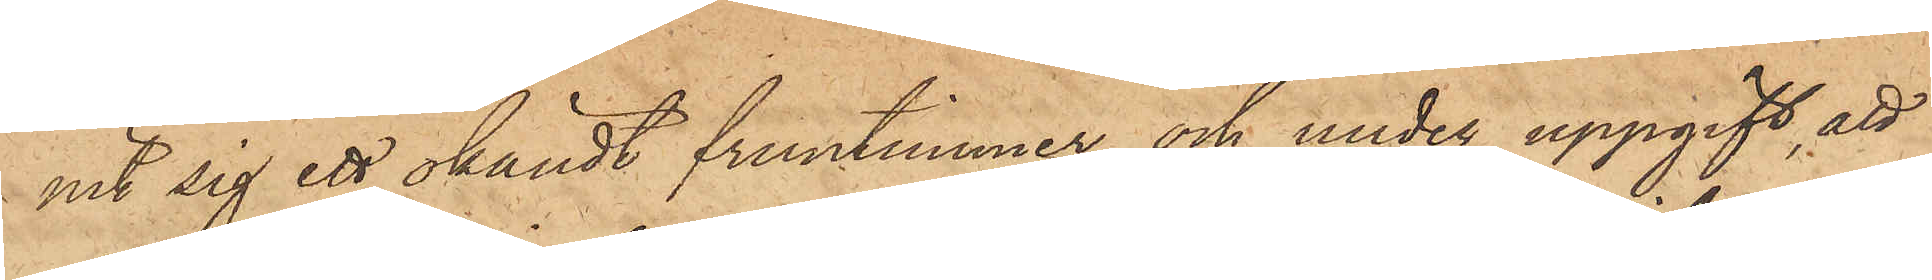nit sig ett okändt fruntimmer och under uppgift, att
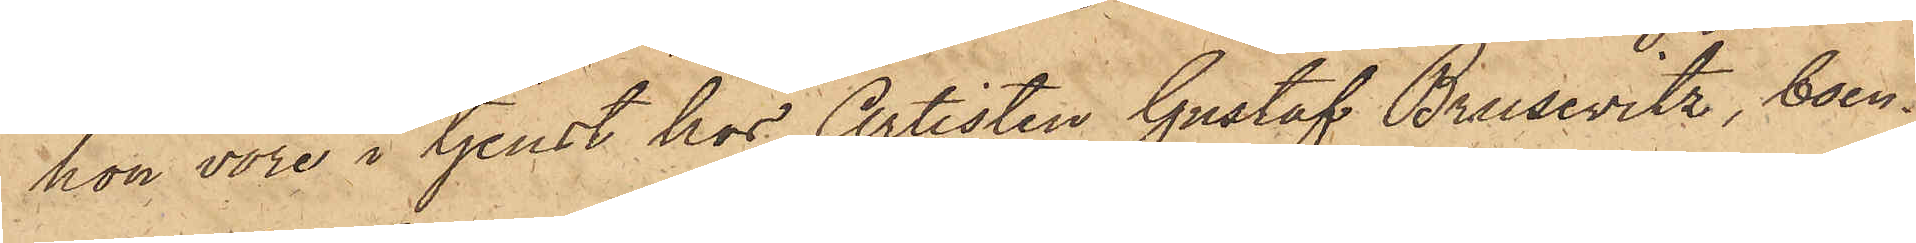hon vore i tjenst hos Artisten Gustaf Brusewitz, boen¬
